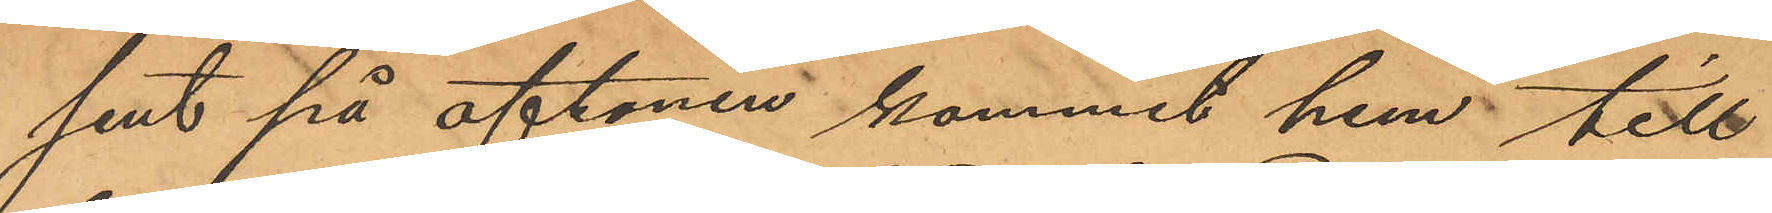sent på aftonen kommit hem till
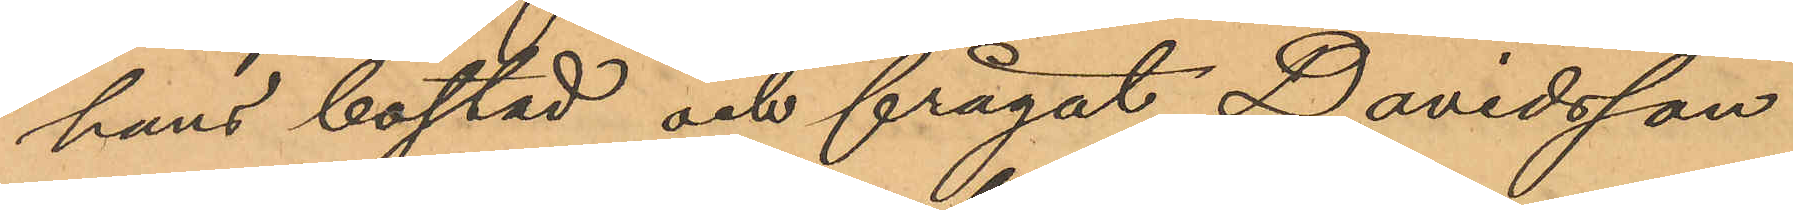hans bostad och frågat Davidsson
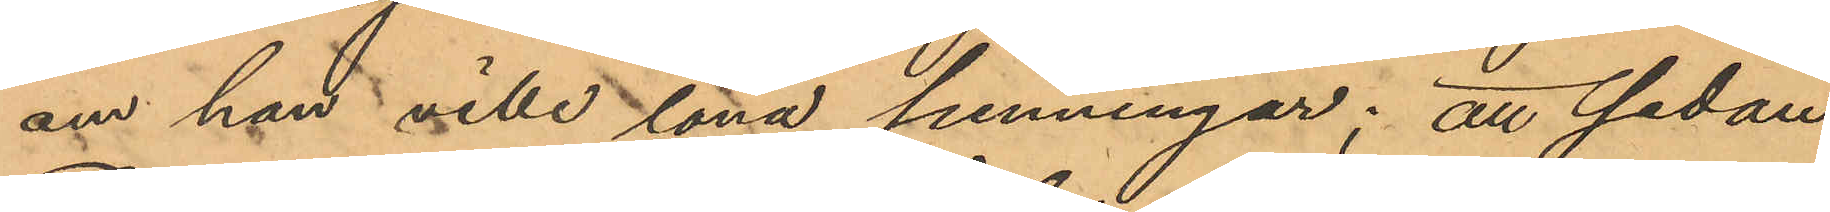om han ville låna penningar; att sedan
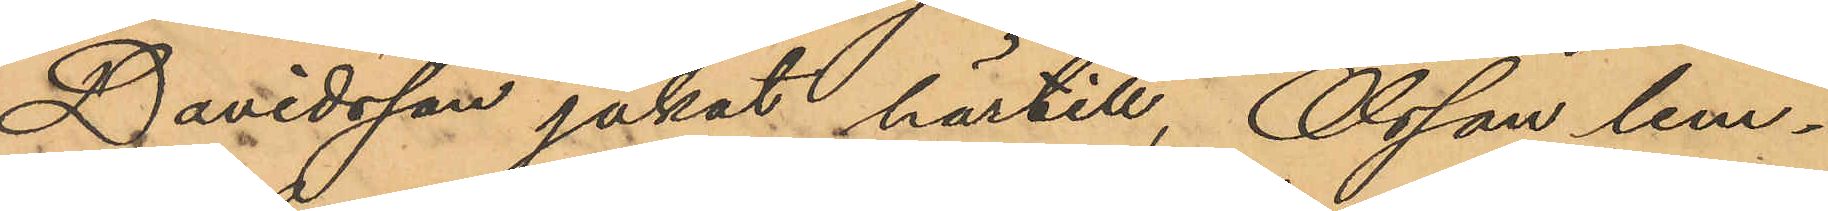Davidsson jakat härtill, Olsson lem¬
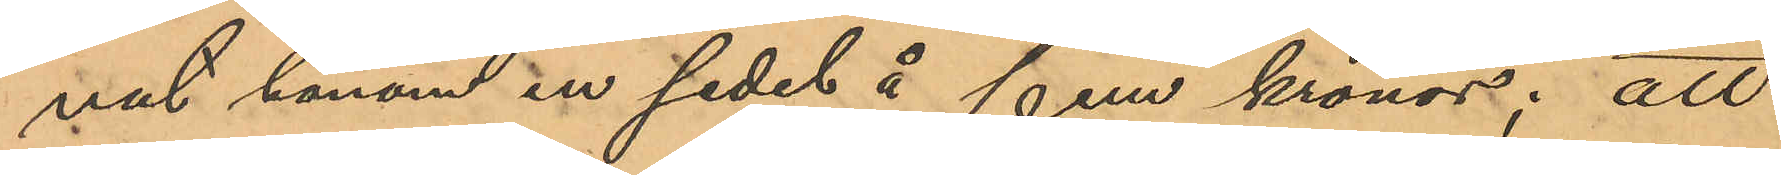nat honom en sedel å fem kronor; att
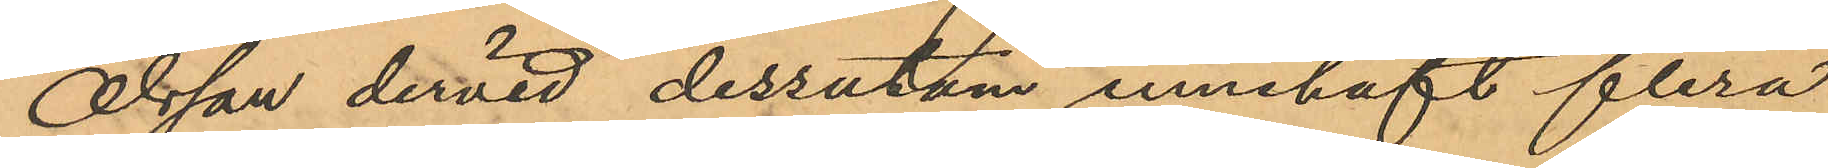Olsson dervid dessutom innehaft flera
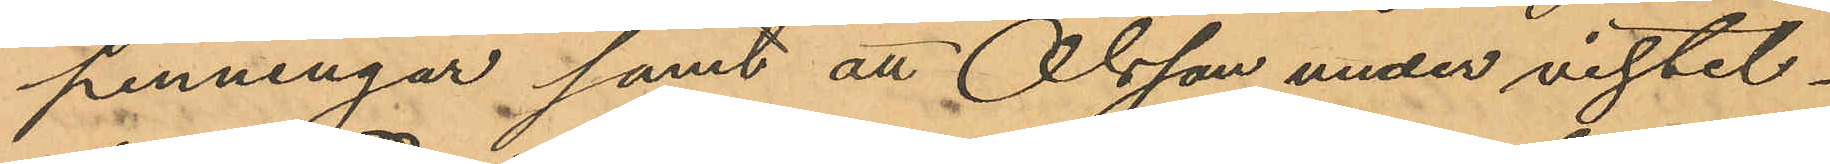penningar samt att Olsson under vistel¬
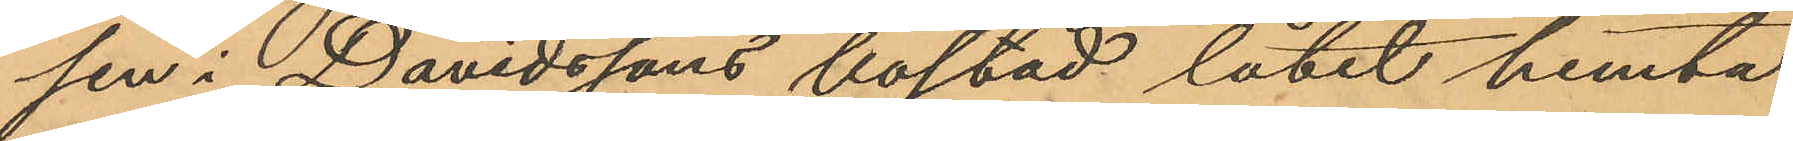sen i Davidssons bostad låtit hemta
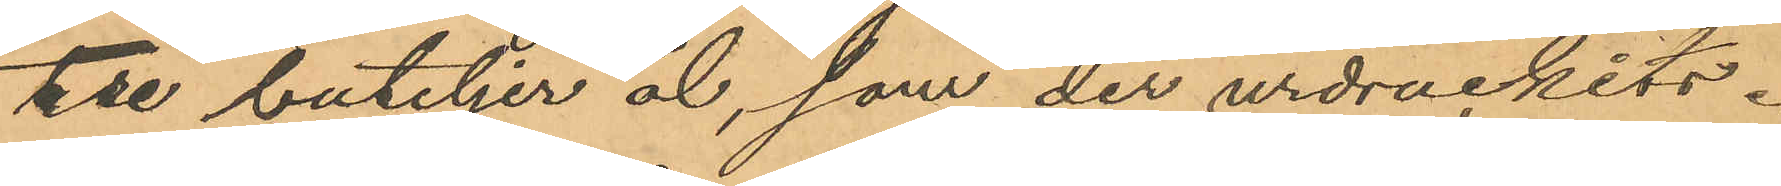tre buteljer öl, som der urdruckits.
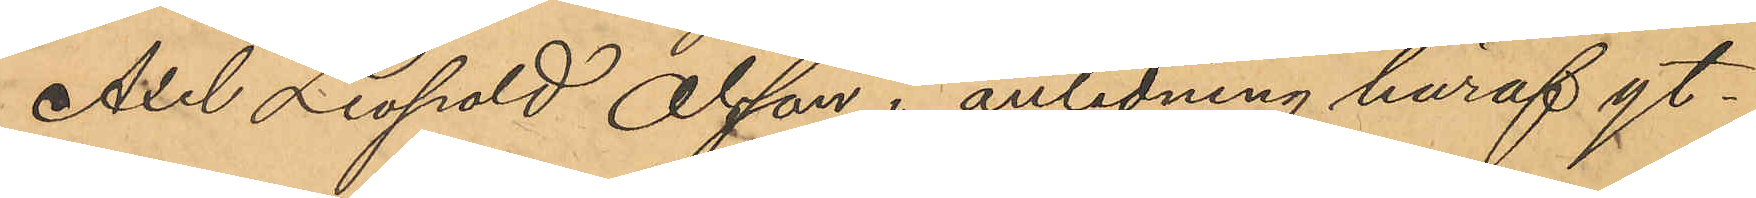Axel Leopold Olsson i anledning häraf yt¬
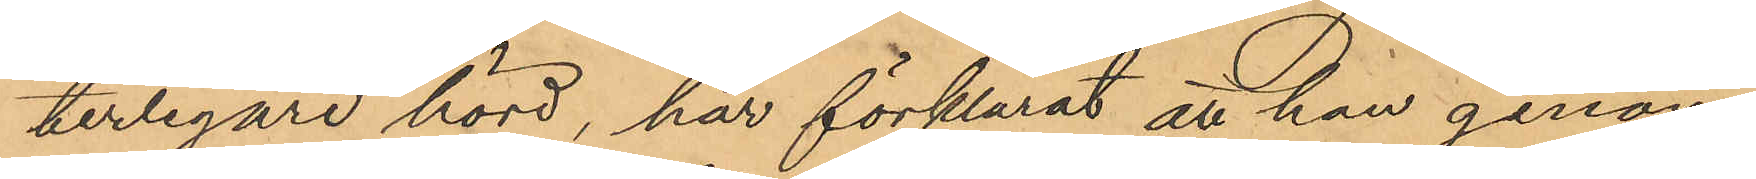terligare hörd, har förklarat att han genom
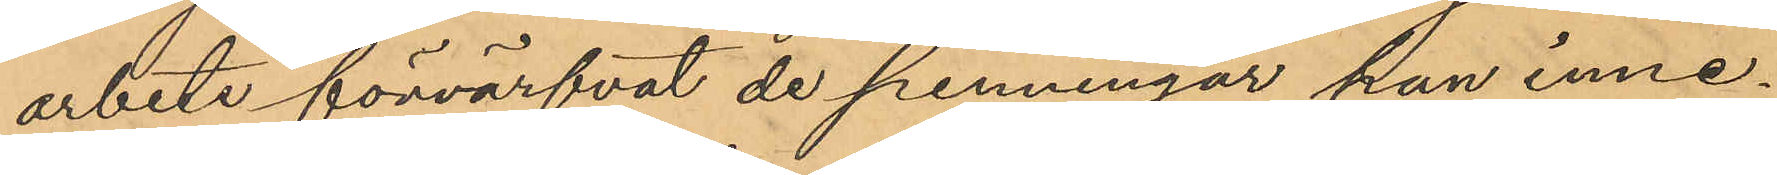arbete förvärfvat de penningar han inne¬
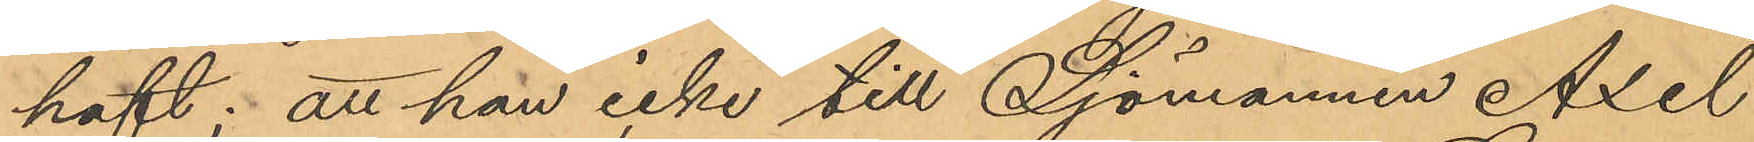haft: att han icke till Sjömannen Axel
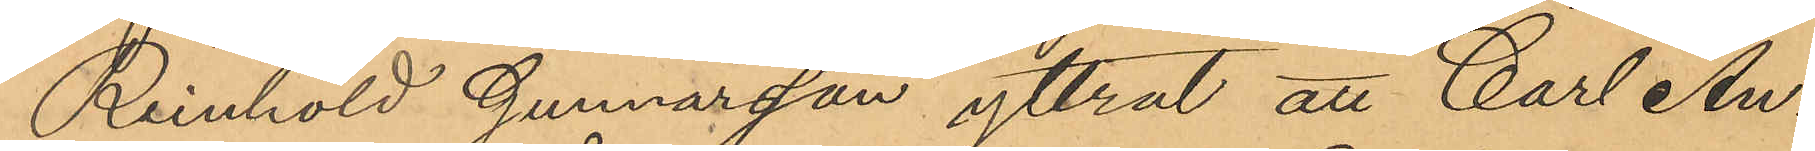Reinhold Gunnarsson yttrat att Carl An¬
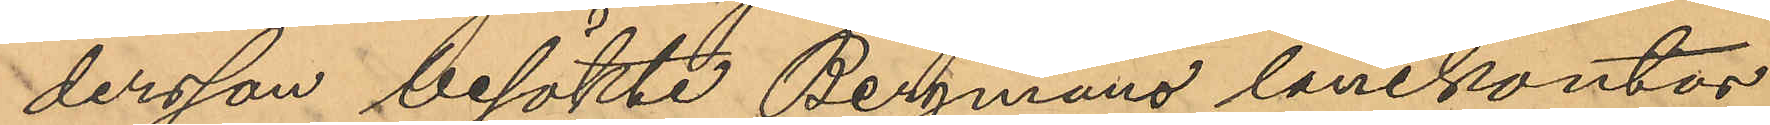dersson besökte Bergmans lånekontor
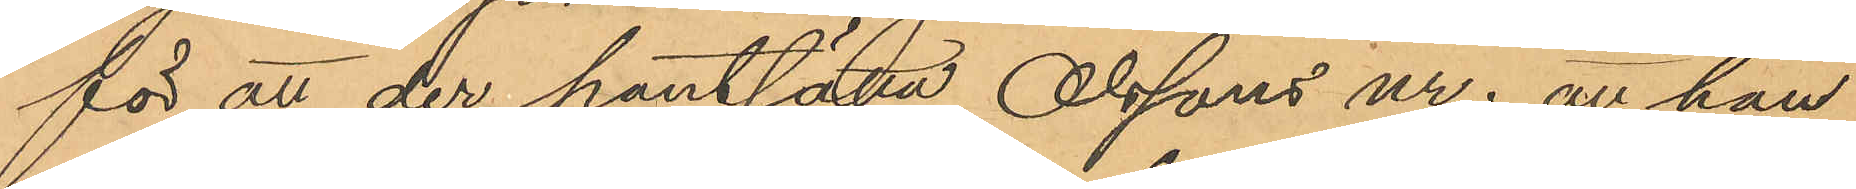för att der pantsätta Olssons ur; att han
